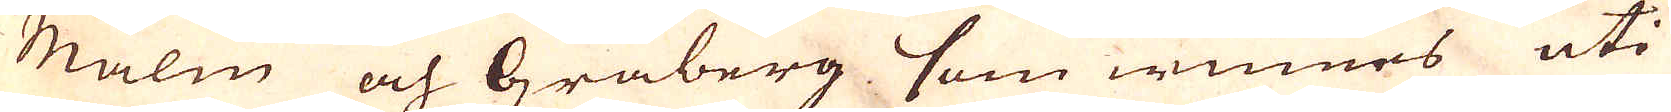Malm och Gråberg som winnes uti
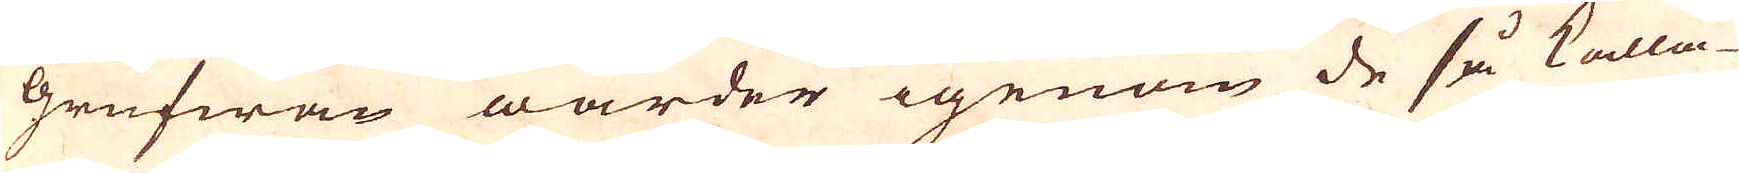grufwan warder igenom de så kalla-
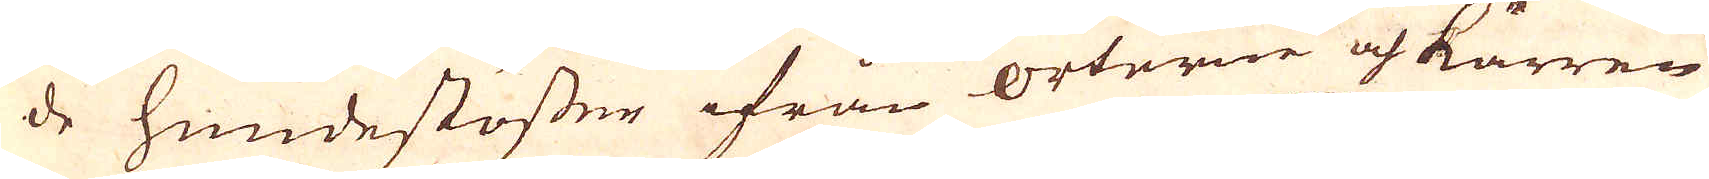de hundestösser ifrån orterne och kärren
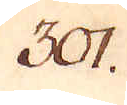301.
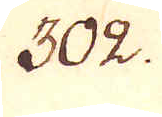302.
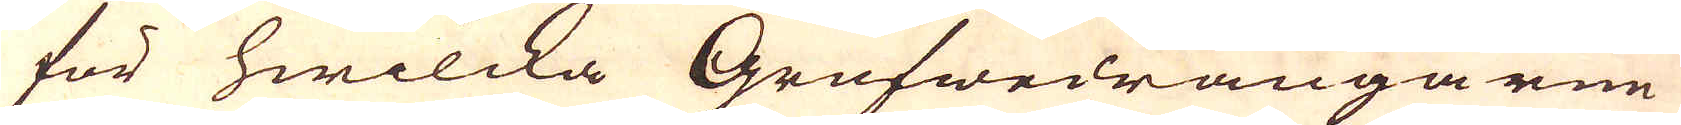för hwilcka Grufwedrängarne
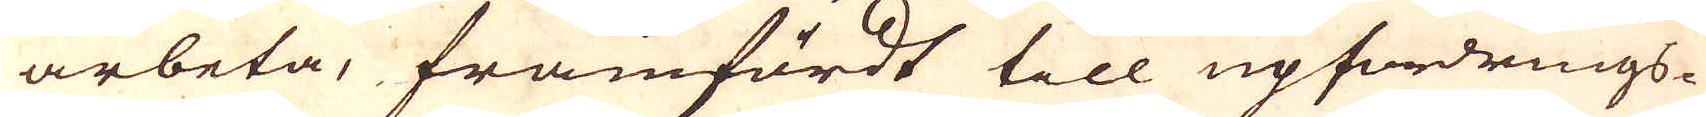arbeta, framfördt till upfordrings-
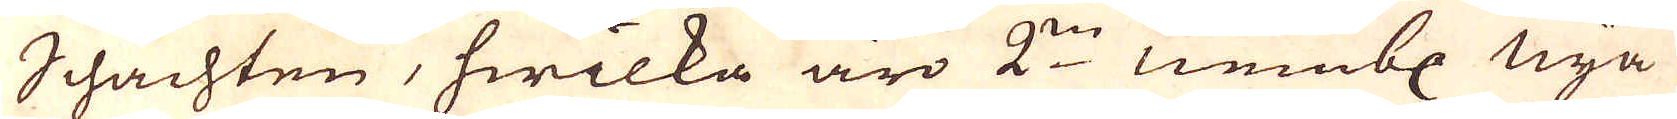Schachten, hwilka äro 2:ne nembl nya
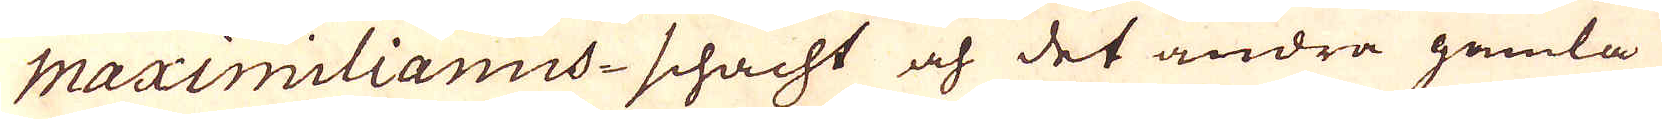Maximilianus-schacht och det andra gamla
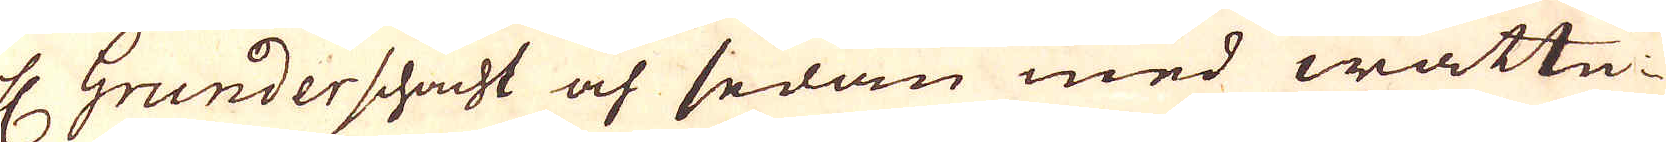H Grunderschacht och sedan med wattu-
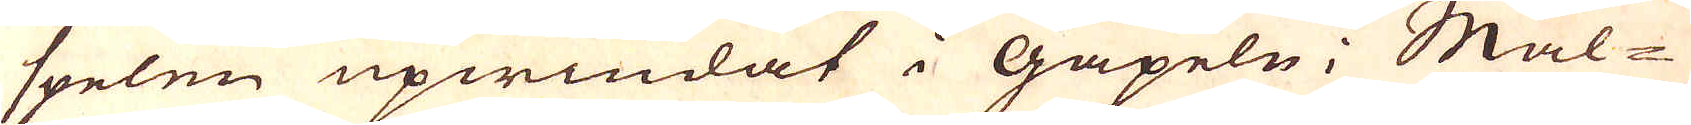spelen upwindat i Gäpeln; Mal-
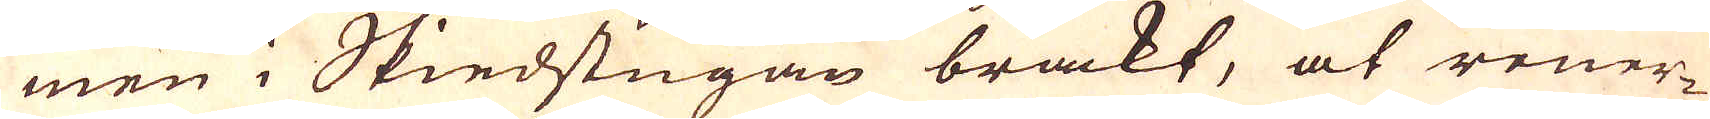men i Skiedstugan brakt, at rener-
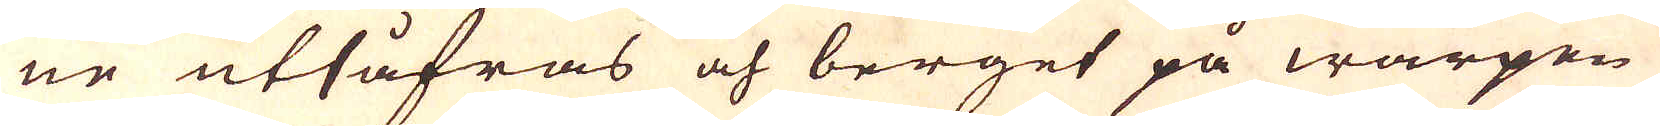ne utsåfras och berget på warpen
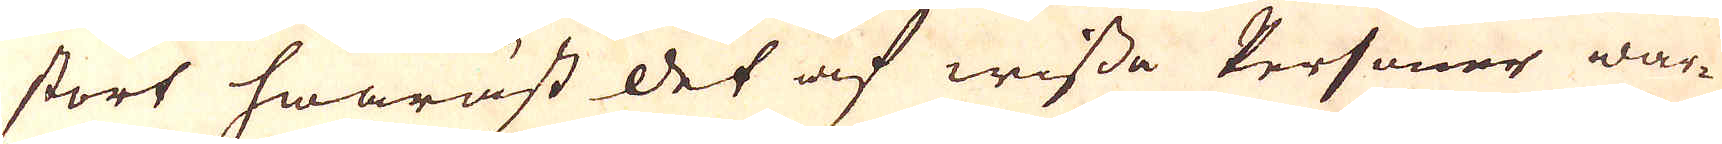stört hwaräst det af wissa Personer war-
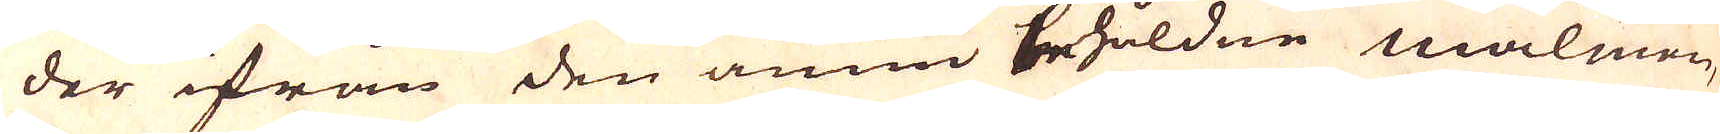der ifrån den ännu behåldne malmen,
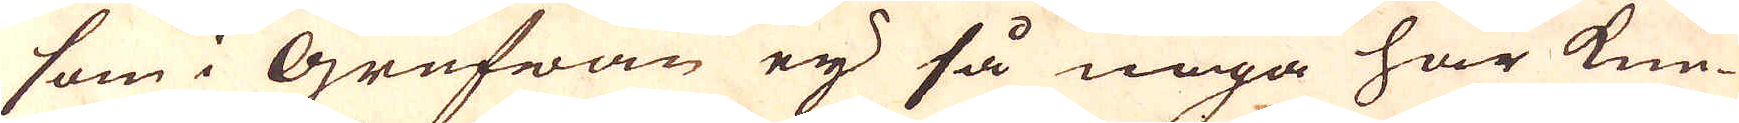som i Grufwan eij så noga har kun-
